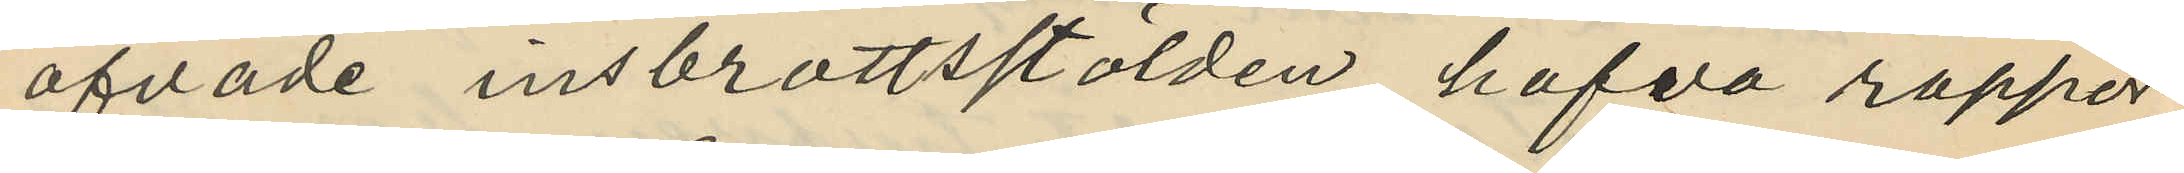öfvade inbrottsstölden hafva rappor¬
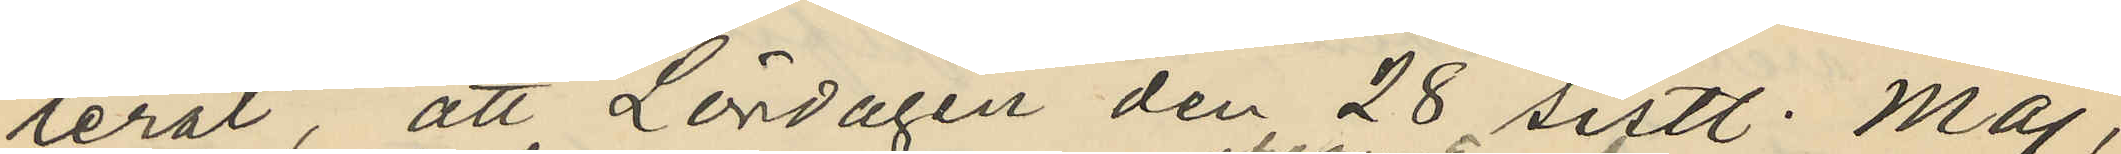terat, att Lördagen den 28 sistl. Maj,
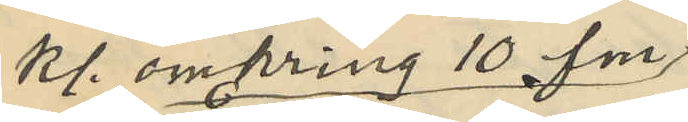kl. omkring 10 fm.
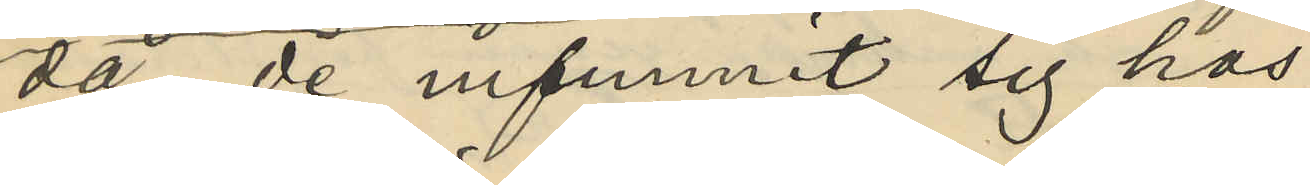då de infunnit sig hos
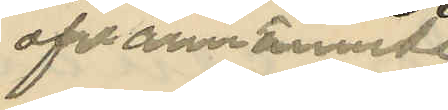ofvannämnde
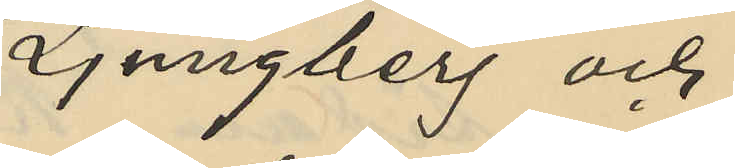Ljungberg och
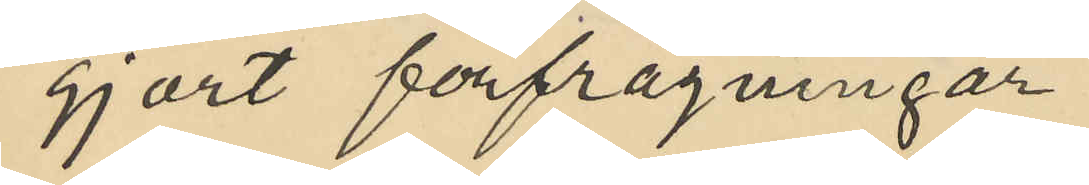gjort förfrågningar
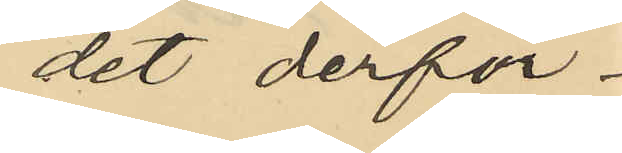det derför.
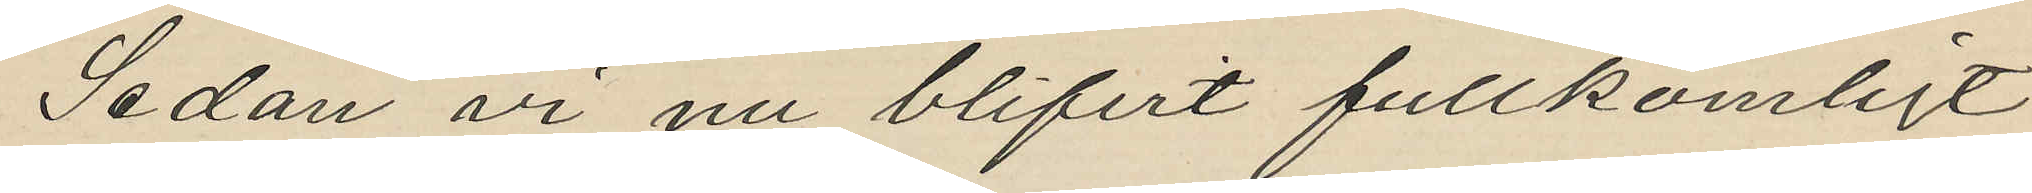Sedan vi nu blifvit fullkomligt
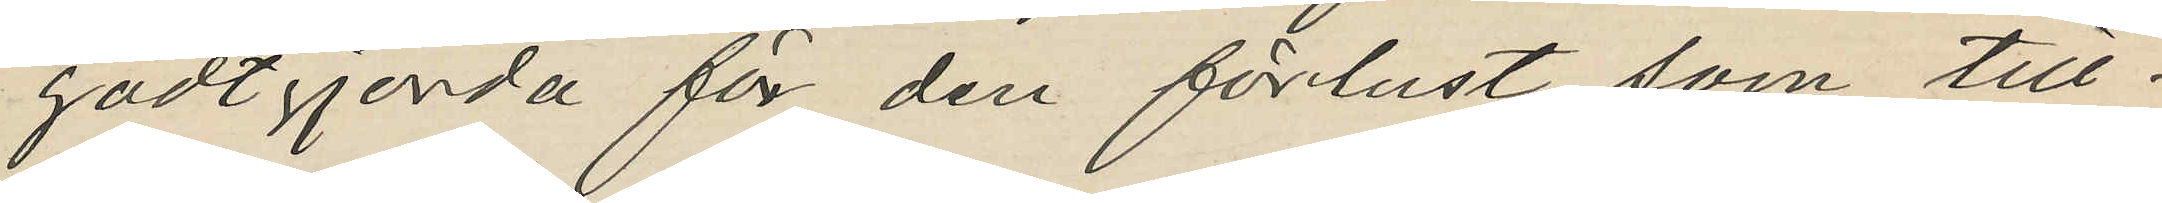godtgjorda för den förlust som till¬
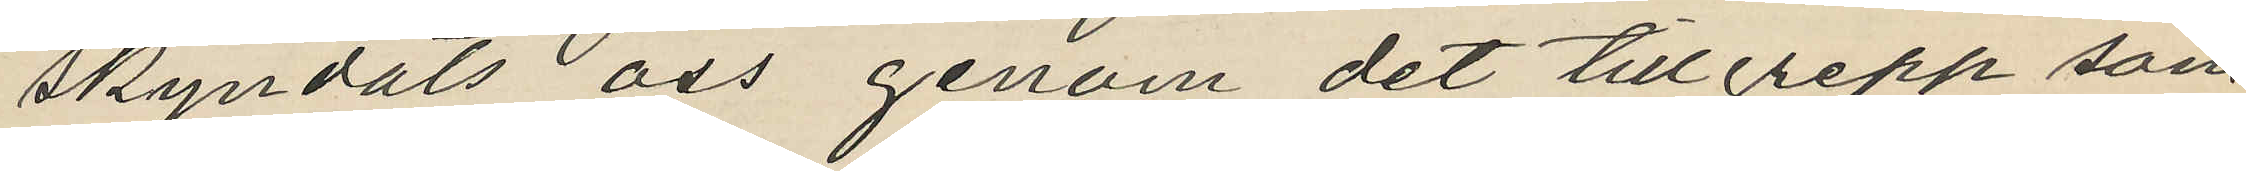skyndats oss genom det tillgrepp som
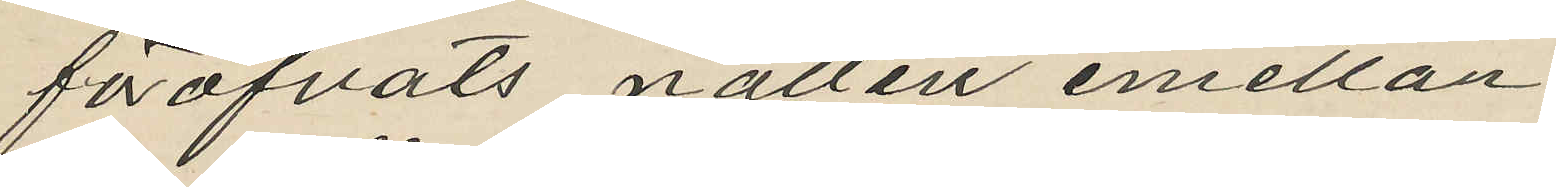föröfvats natten emellan
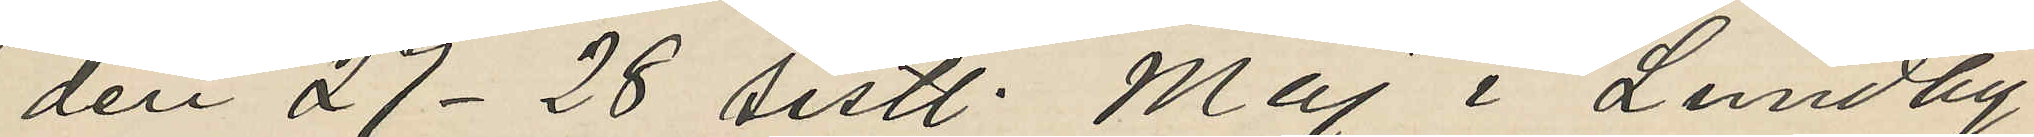den 27-28 sistl. Maj i Lundby
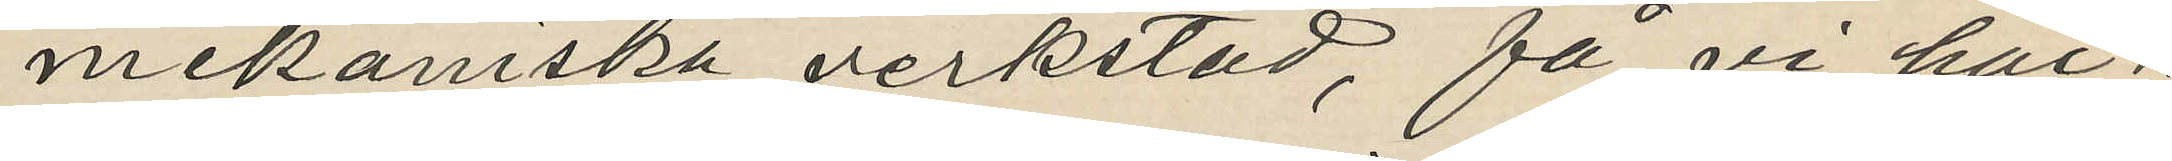mekaniska verkstad, få vi här¬
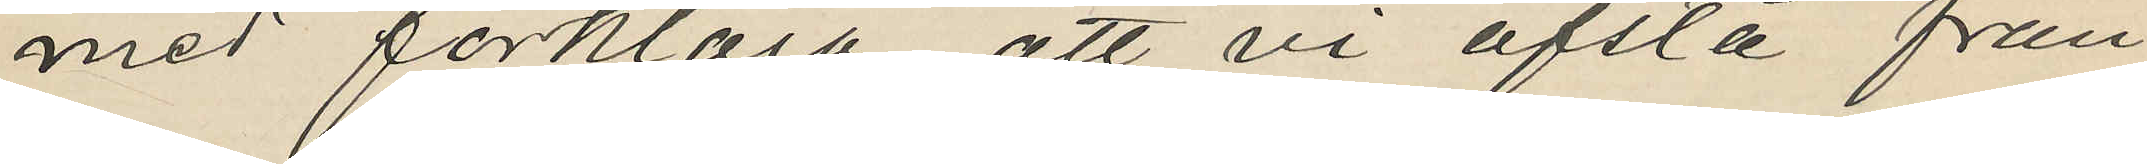med förklara att vi afstå från
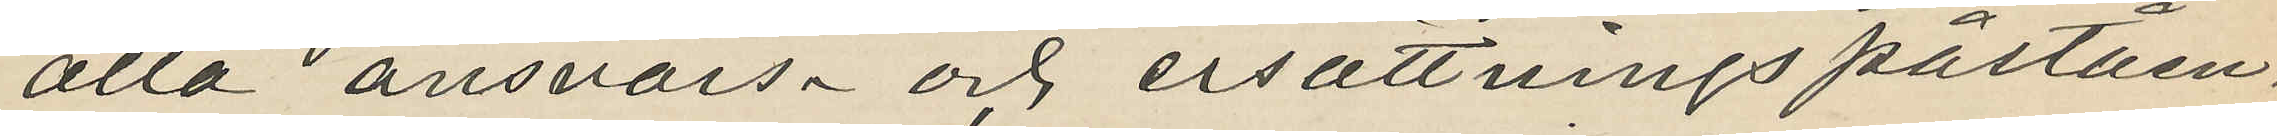alla ansvars- och ersättningspåståen¬
